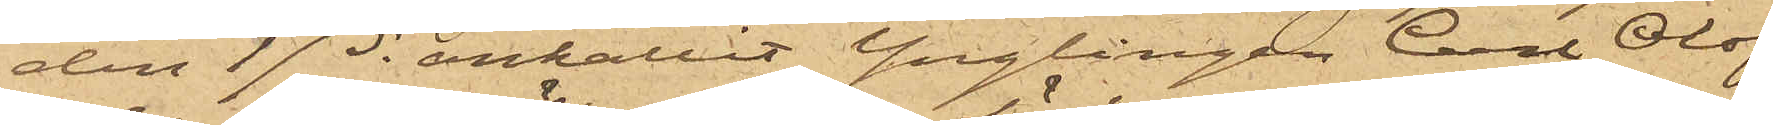den 17 ds anhållit Ynglingen Carl Olof
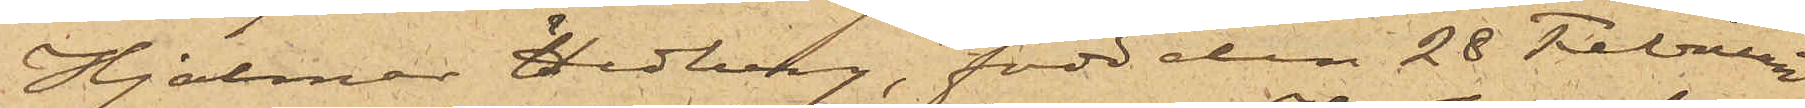Hjalmar Hedberg, född den 28 Februari
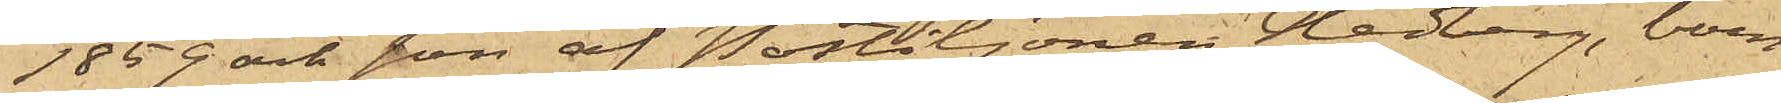1859 och son af Postiljonen Hedberg, boen¬
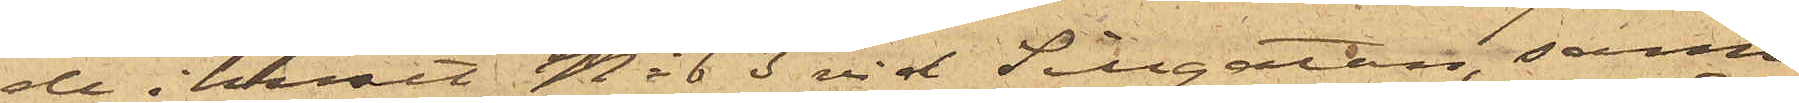de i huset No 63 vid Sillgatan, samt
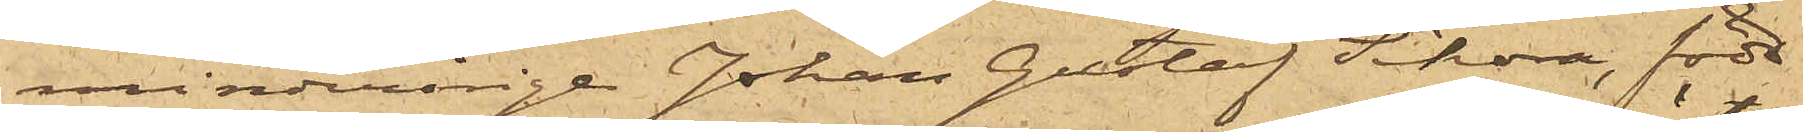minderårige Johan Gustaf Sikora, född
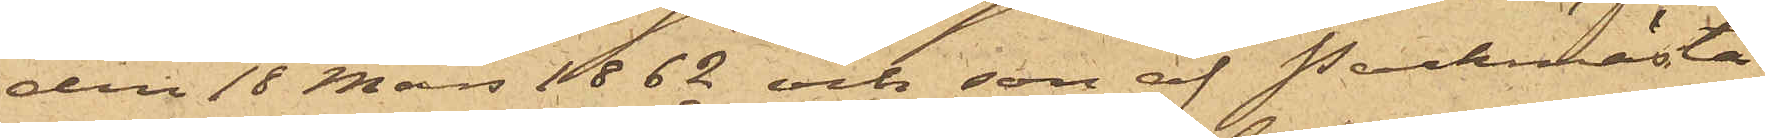den 18 Mars 1862 och son af Packmästa¬
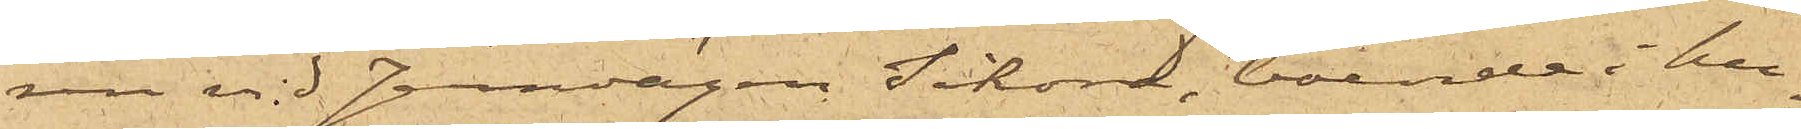ren vid Jernvägen Sikora, boende i hu¬
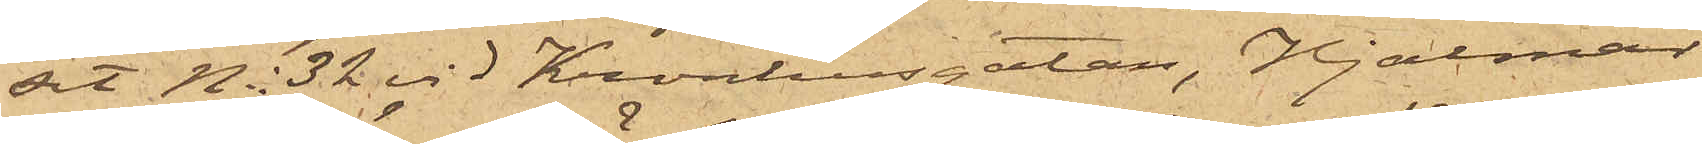set No 32 vid Kronhusgatan, Hjalmar
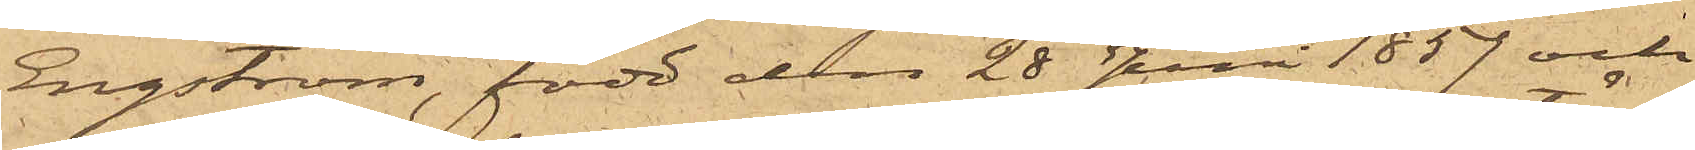Engström, född den 28 Juni 1857 och
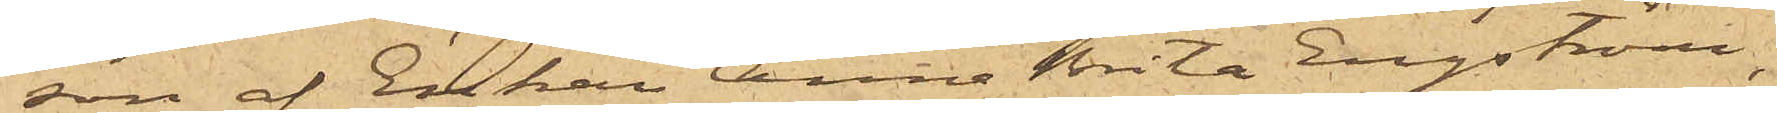son af Enkan Anna Brita Engström,
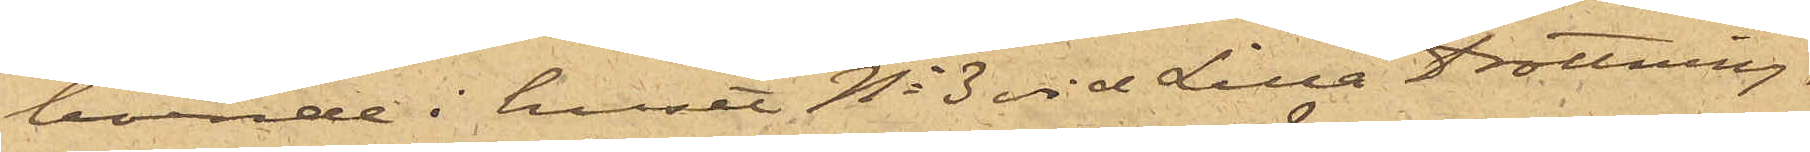boende i huset No 3 vid Lilla Drottning¬
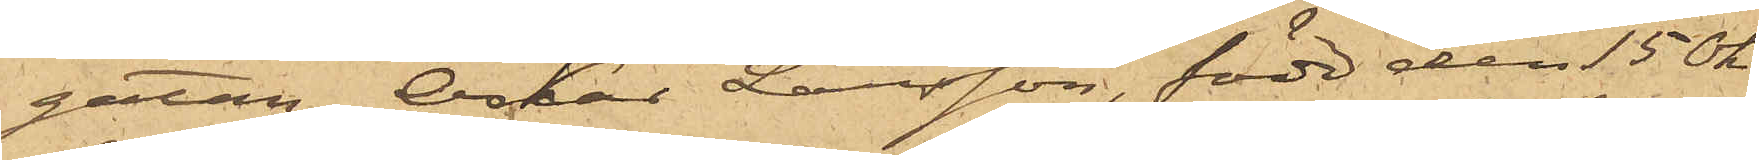gatan, Oskar Larsson, född den 15 Ok¬
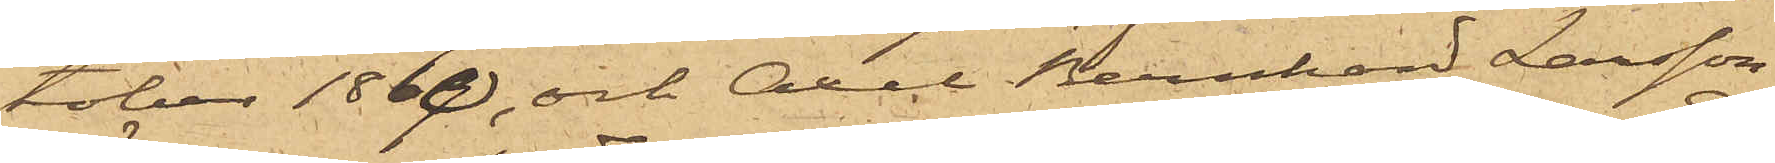tober 1860, och Axel Bernhard Larsson,
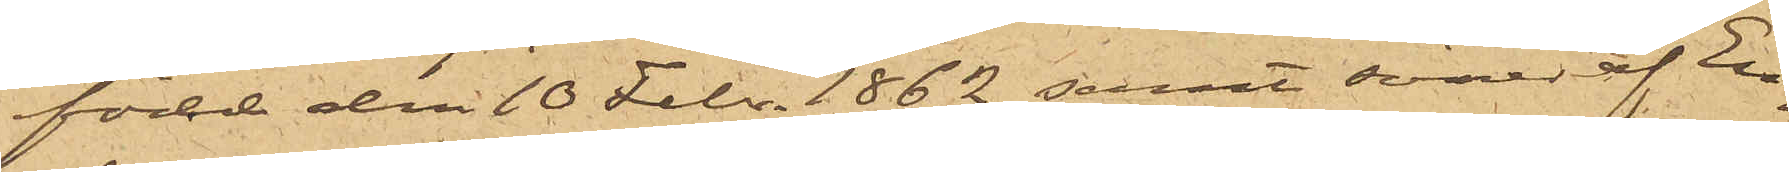född den 10 Febr. 1862 samt söner af En¬
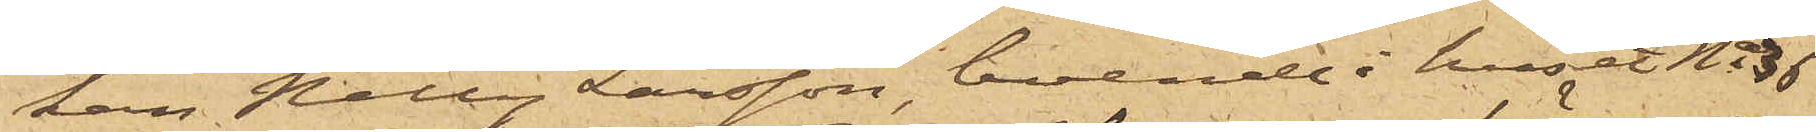kan Nelly Larsson, boende i huset No 36
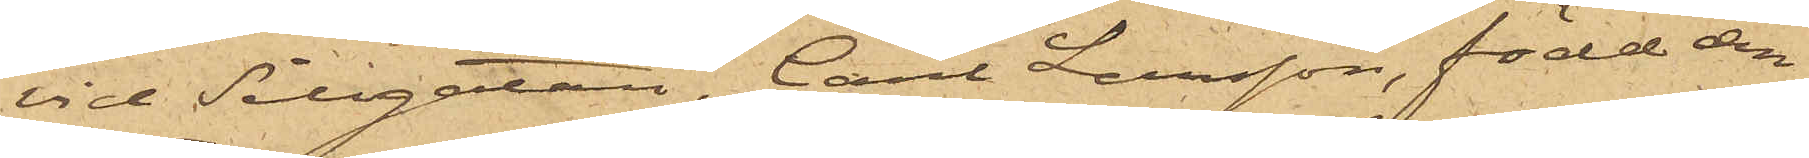vid Sillgatan, Carl Larsson, född den
